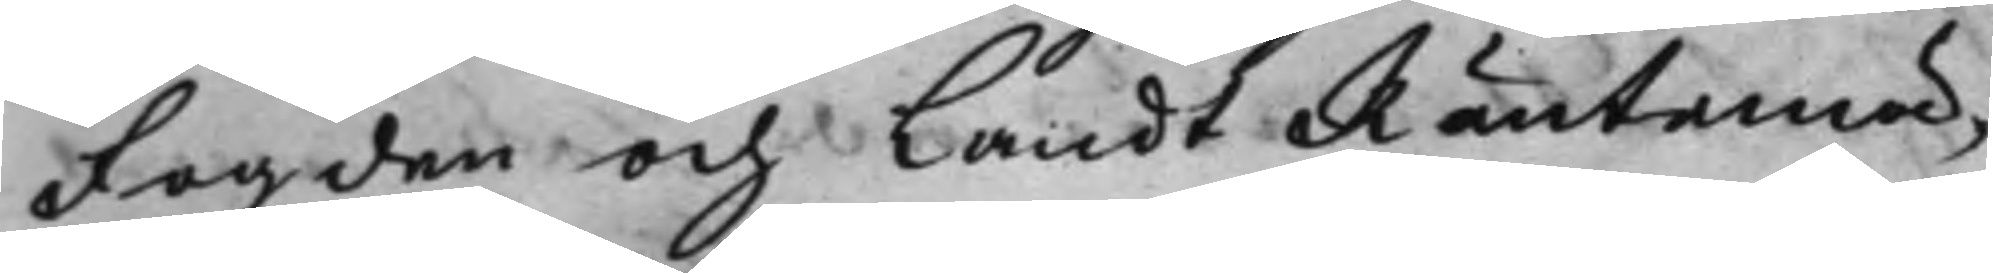Fogden och Landt Räntemä¬
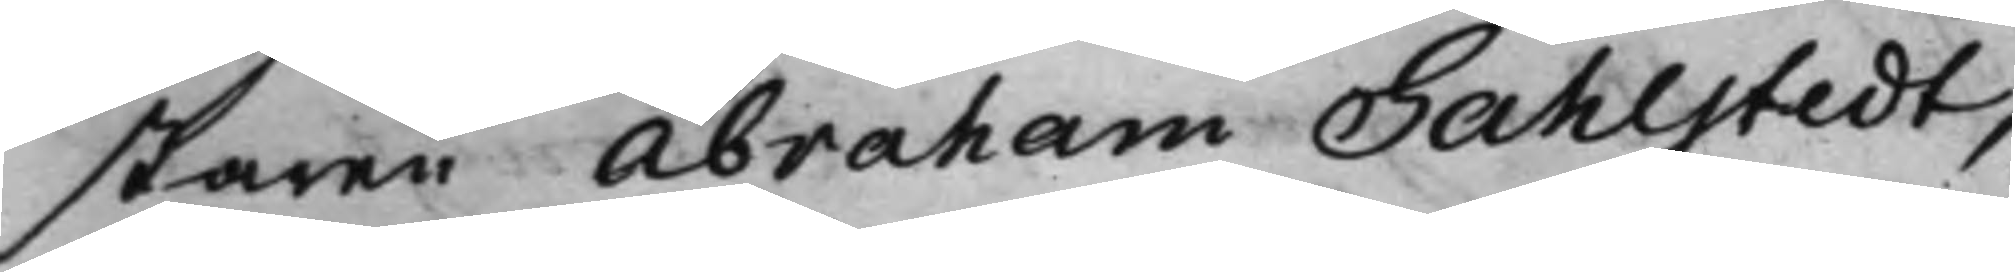staren Abraham Sahlstedt,
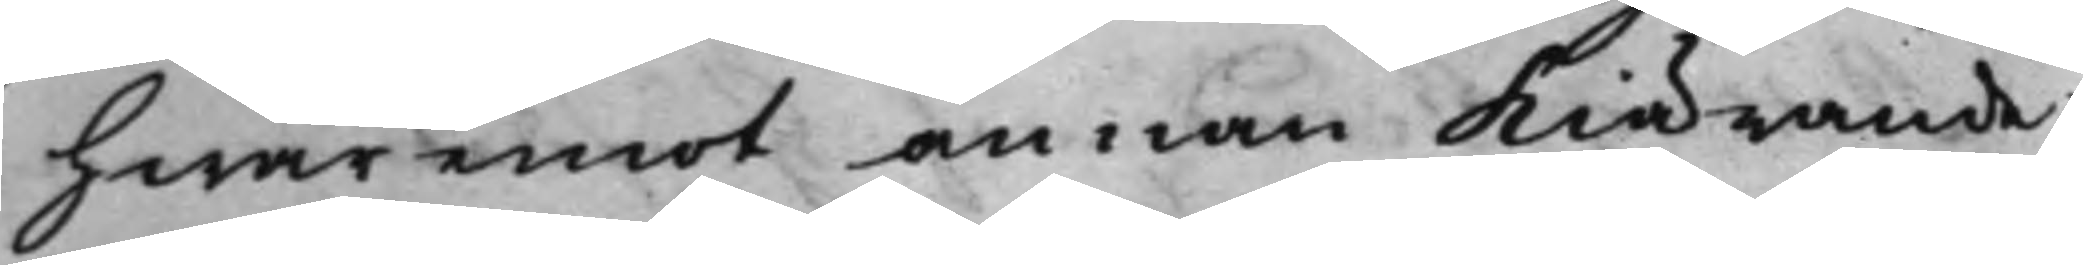hwaremot annan Kiärande
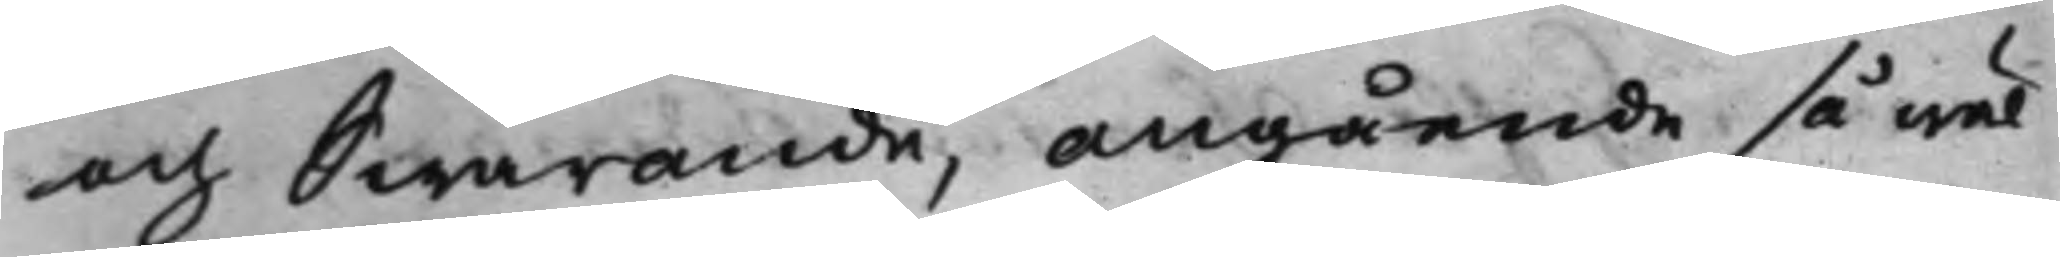och Swarande, angående så wäl
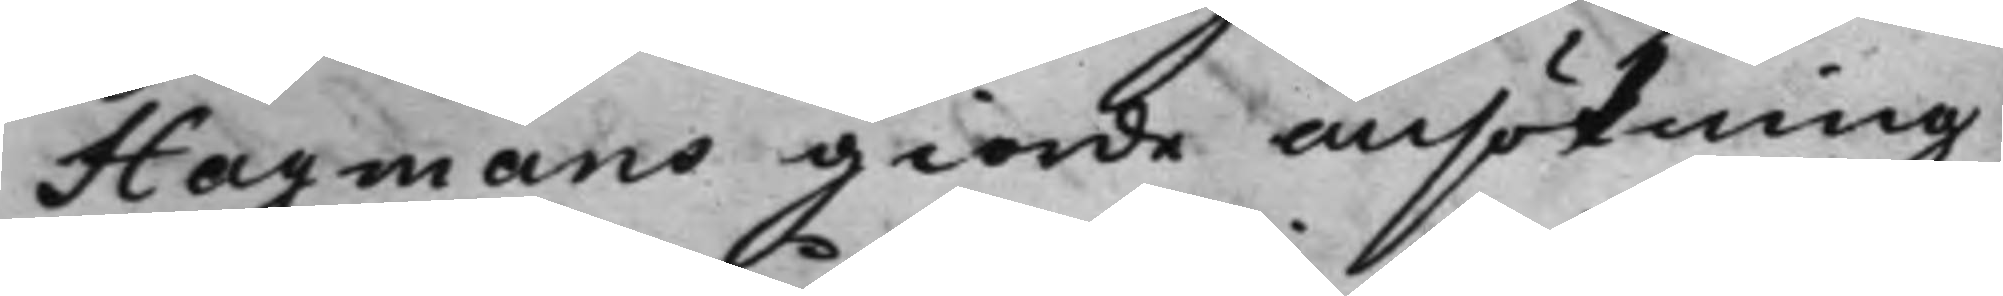Hagmans giorde ansökning,
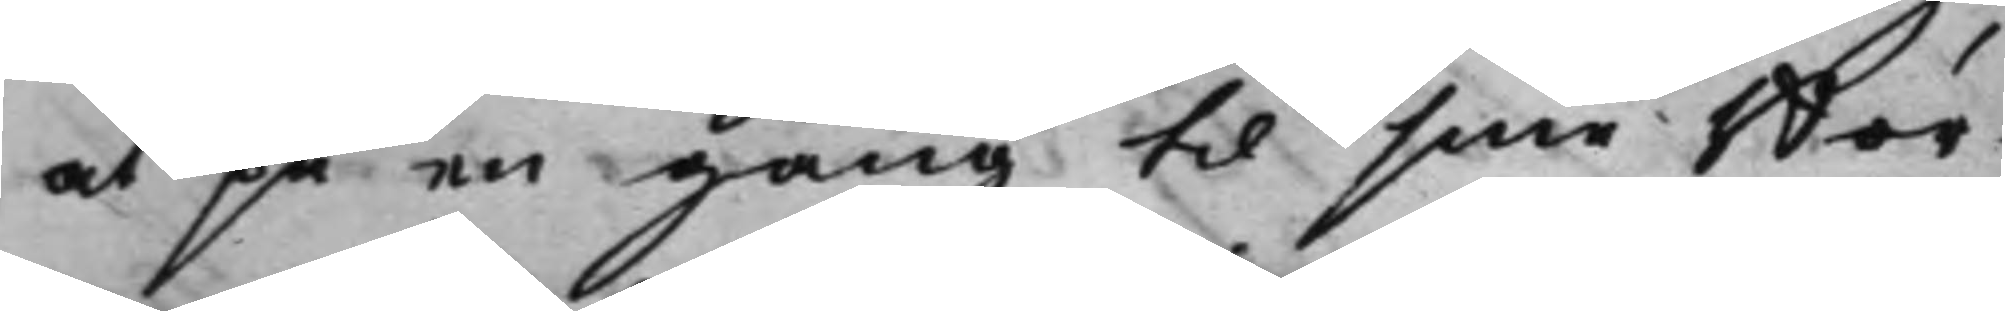at på en gång til sine Bor¬
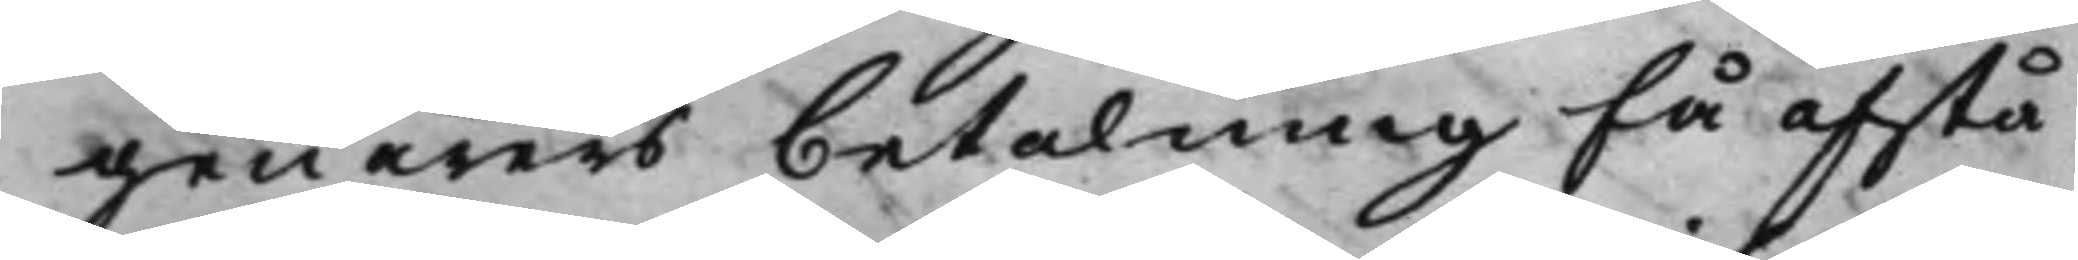genärers betalning få afstå
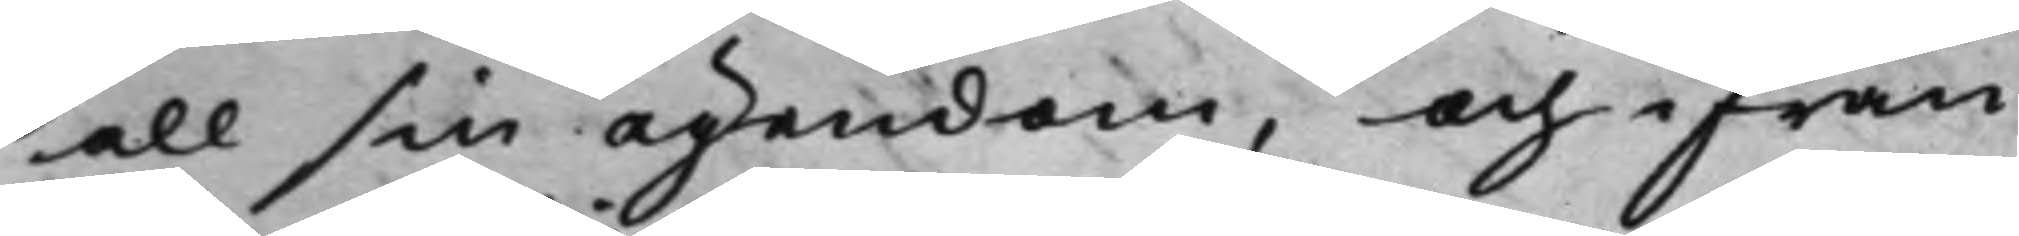all sin ägendom, och ifrån
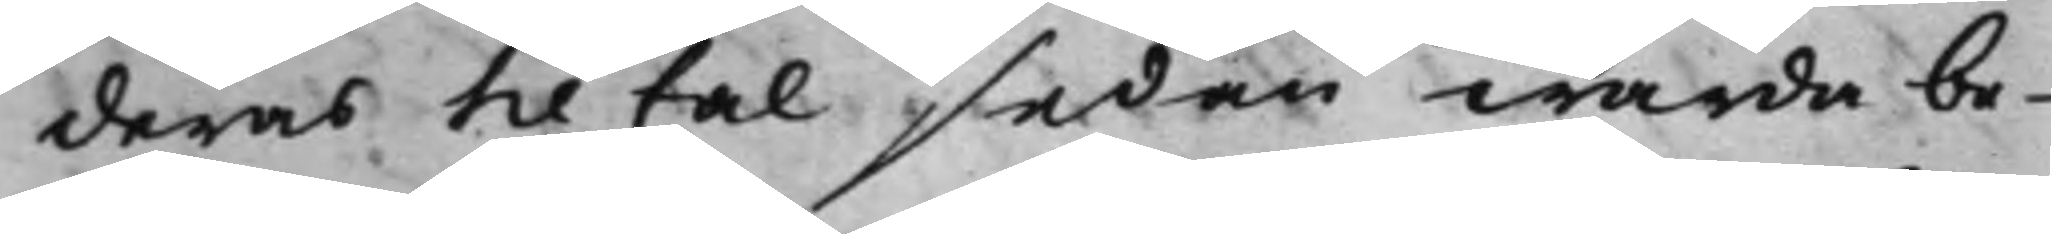deras tiltal sedan warda be¬
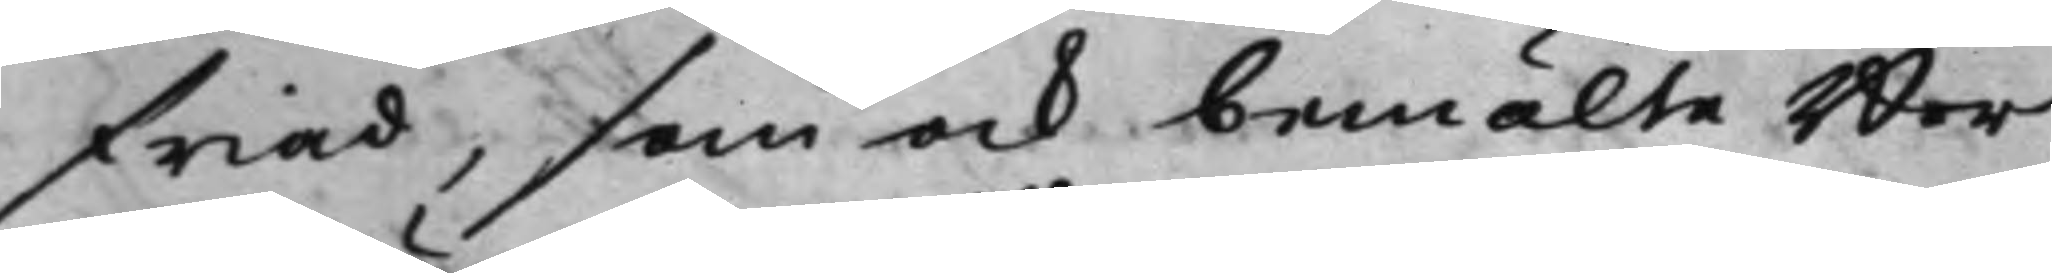friad, som ock bemälte Bor¬
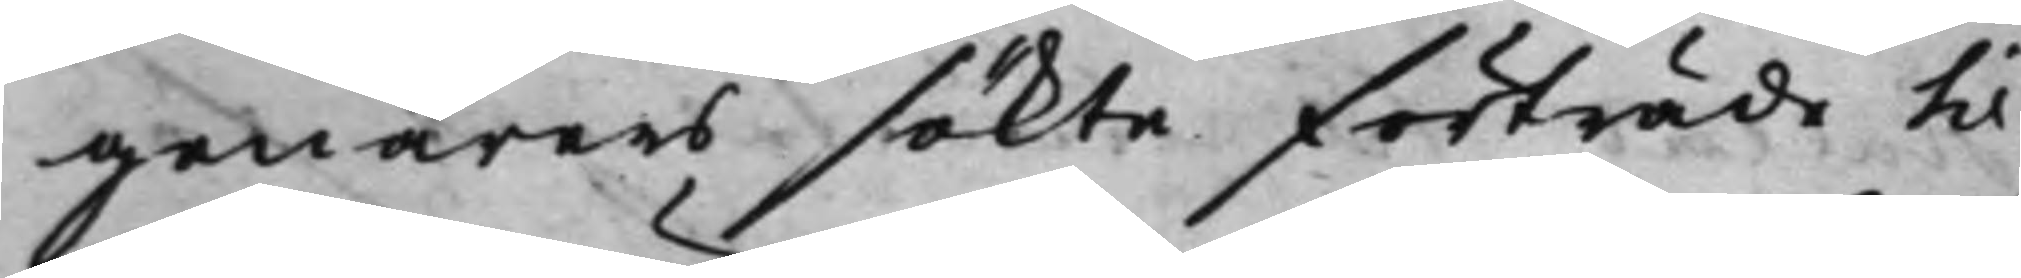genärers sökte förträde til
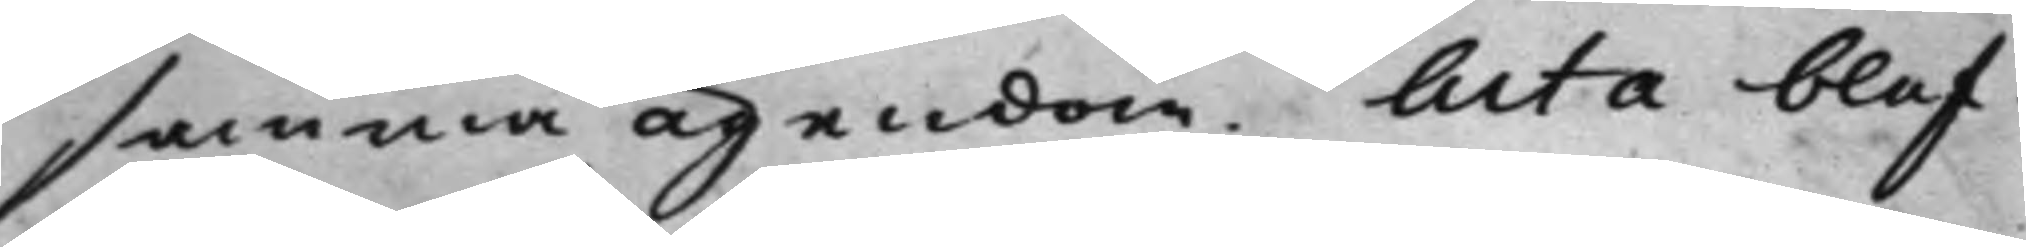samma ägendom. Acta blef¬
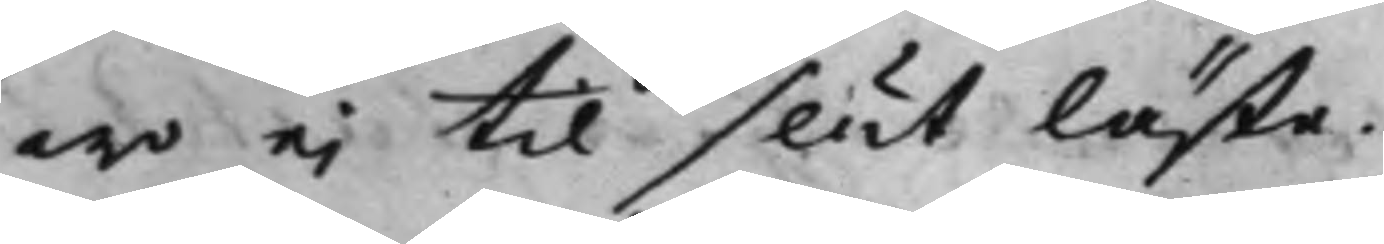wo ej til slut läste.
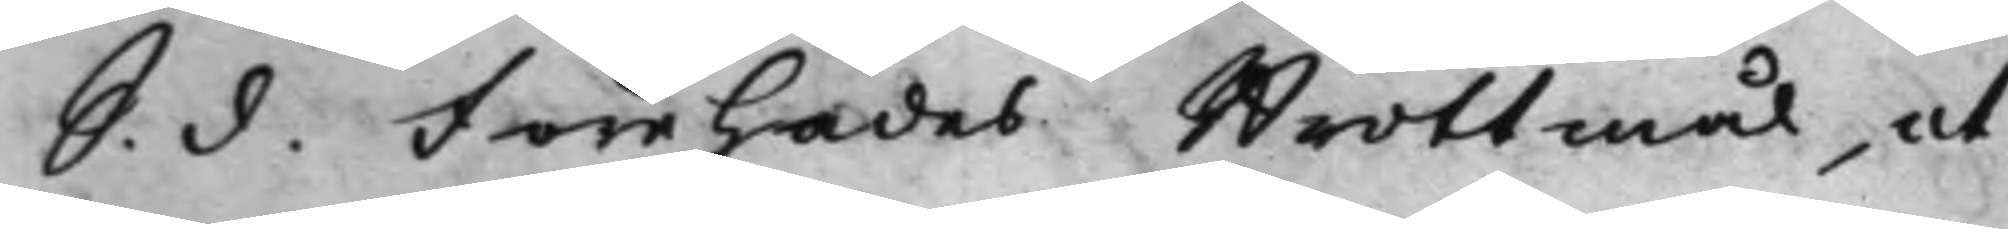S. d. Förehades Brottmål, ut
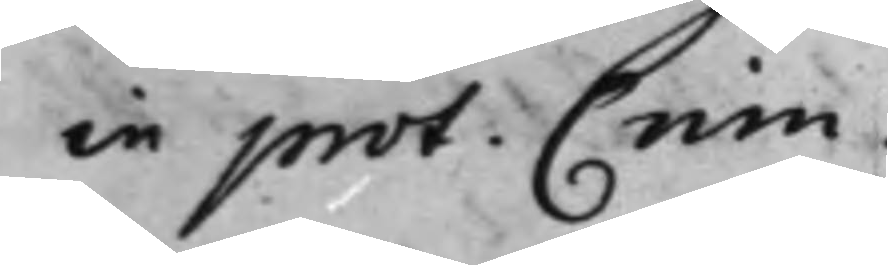in prot. Crim.
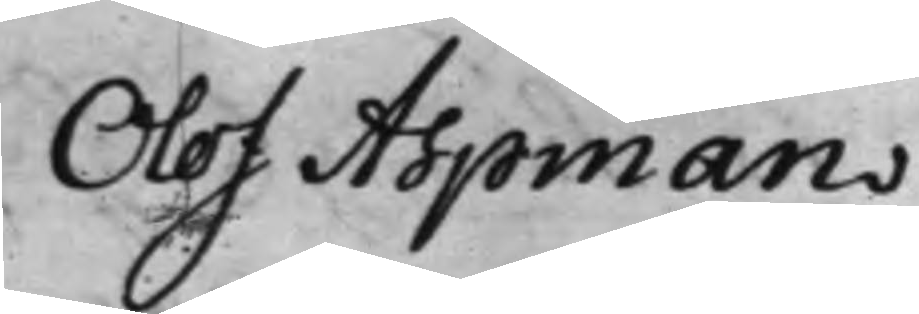Olof Aspman
